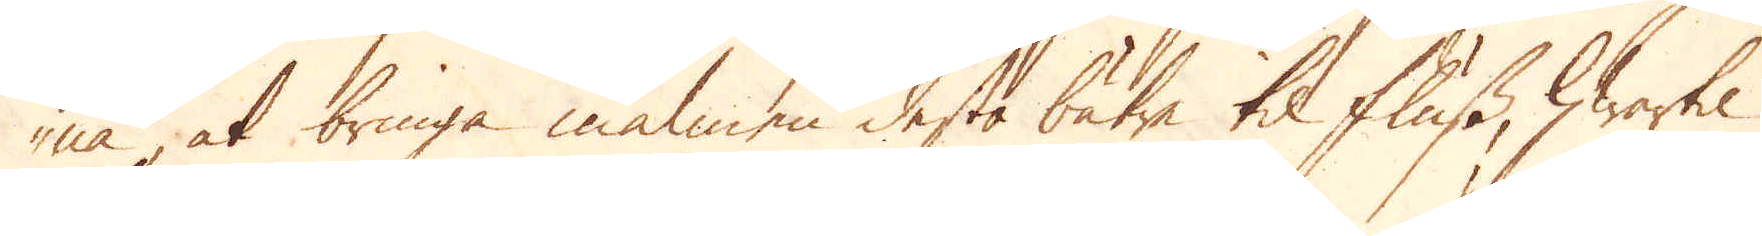na, at bringa malmen desto bätre til fluss, hwartil
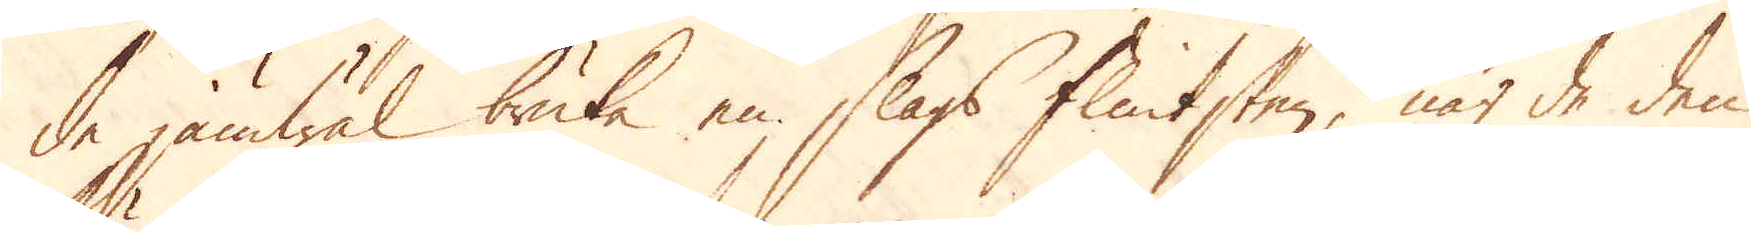de jämwäl bruka en slags flintsten, när de den
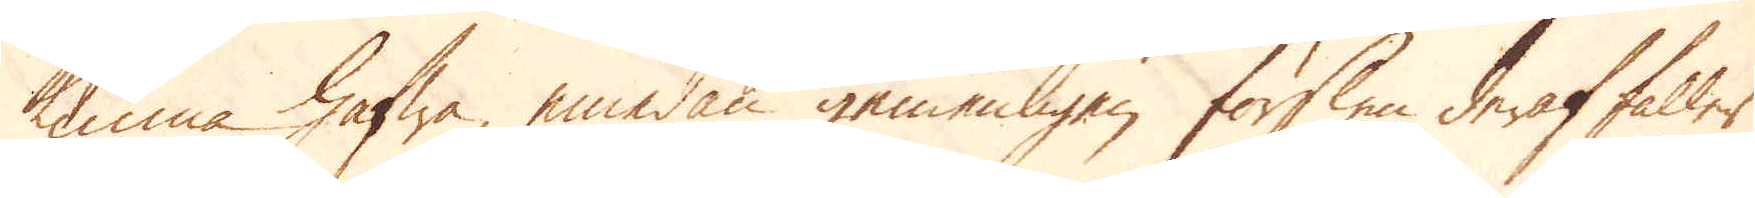kunna hafwa, emedan gemenligen förslen deraf faller
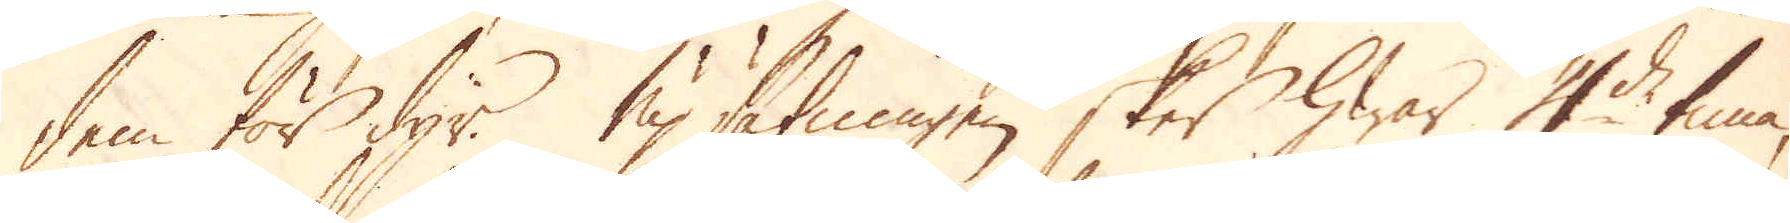dem för dyr. Upsätningen sker hwar 4de tima,
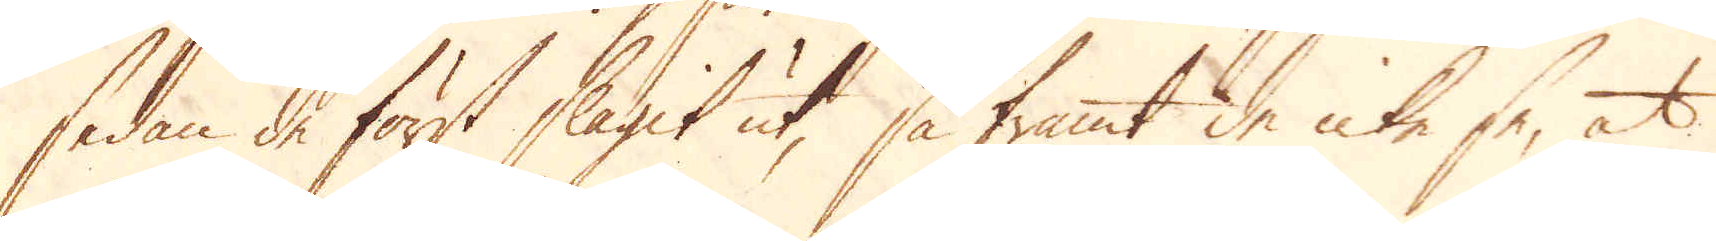sedan de först slagit ut, så framt de icke se, at
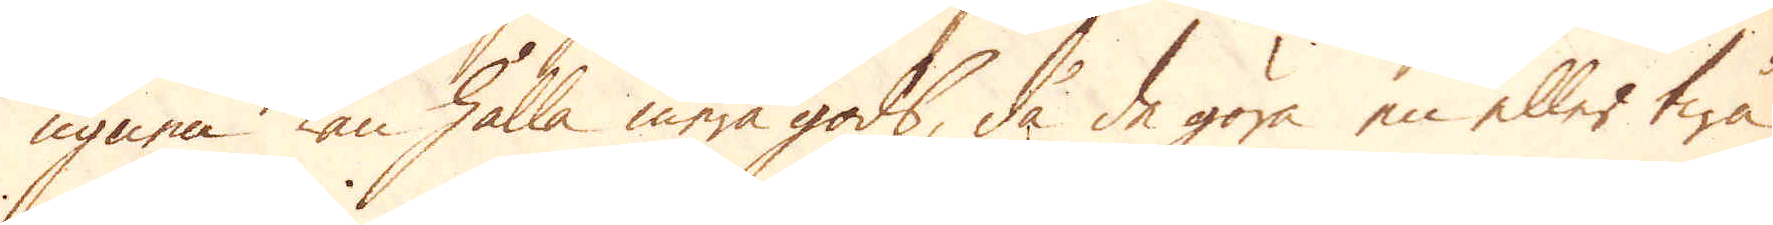ugnen kan hålla mera gods, då de göra en eller twå
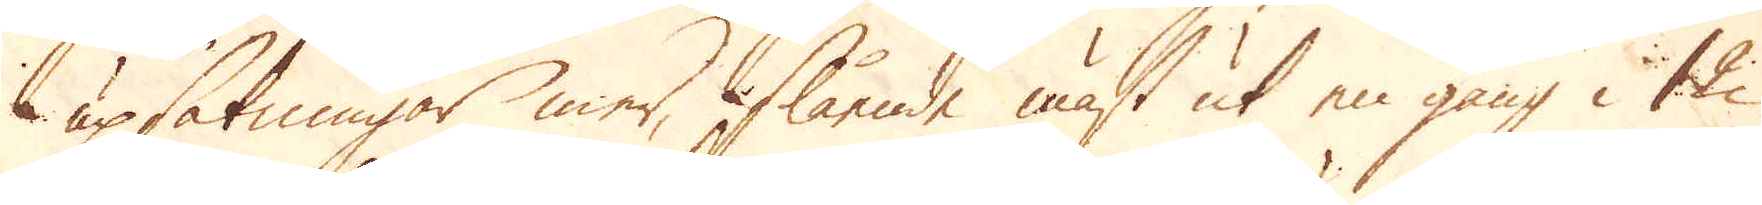upsätningar mer, slående mäst ut en gång i 12
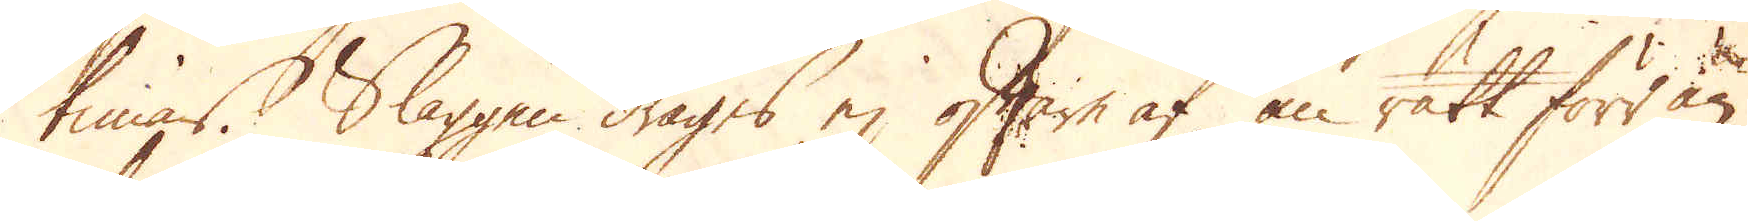timar. Slaggen drages ej oftare af än rätt förr än
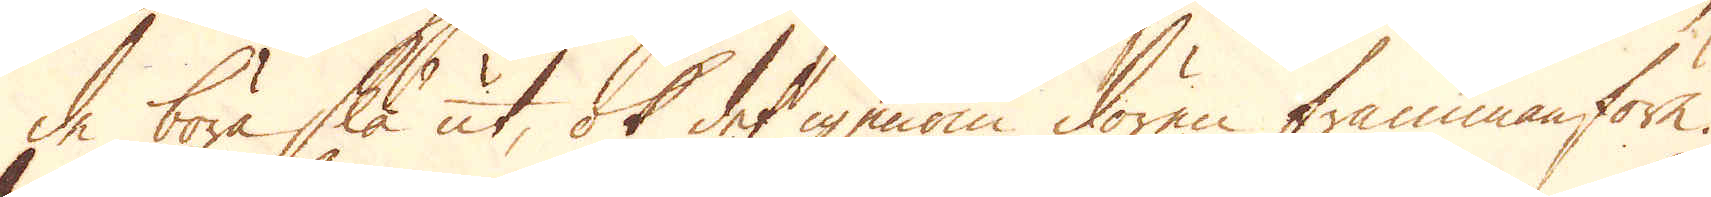de böra slå ut, ok det igenom dören frammanföre.
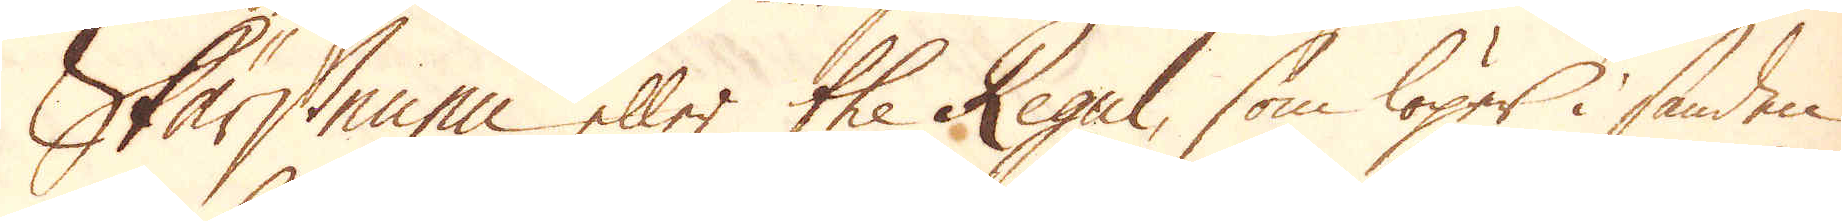Skärstenen eller the Regel, som löper i sanden
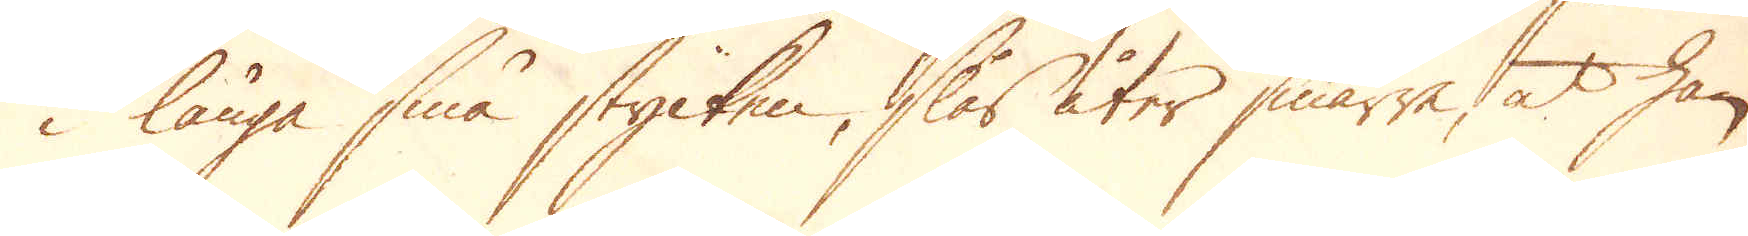i långa små stycken, slås åter smärre, at han
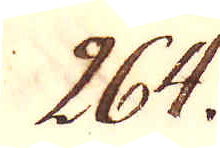264.
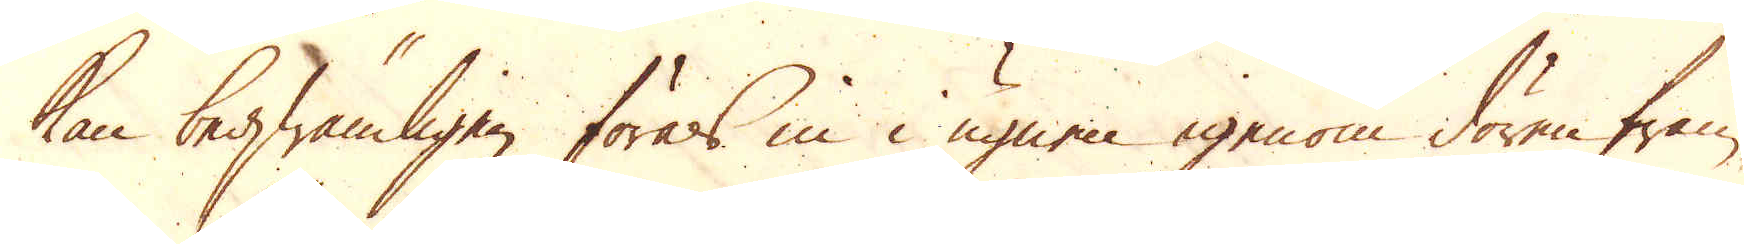kan beqwämligen föras in i ugnen igenom dören fram-
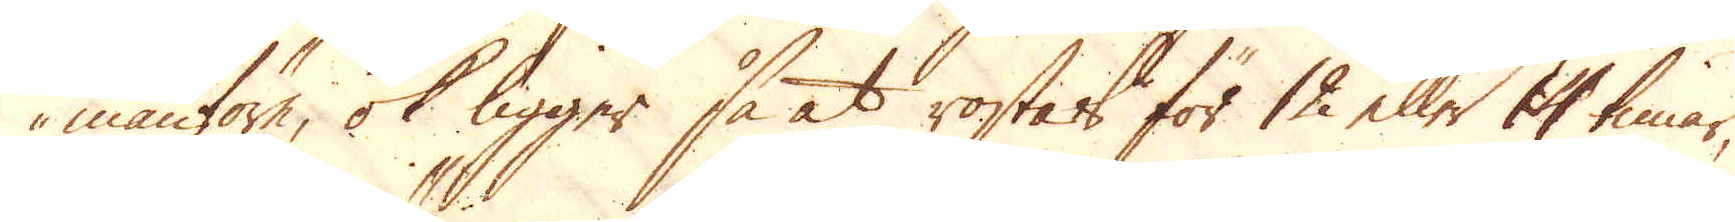manföre, ok ligger så at rostas för 12 eller 14 timar,
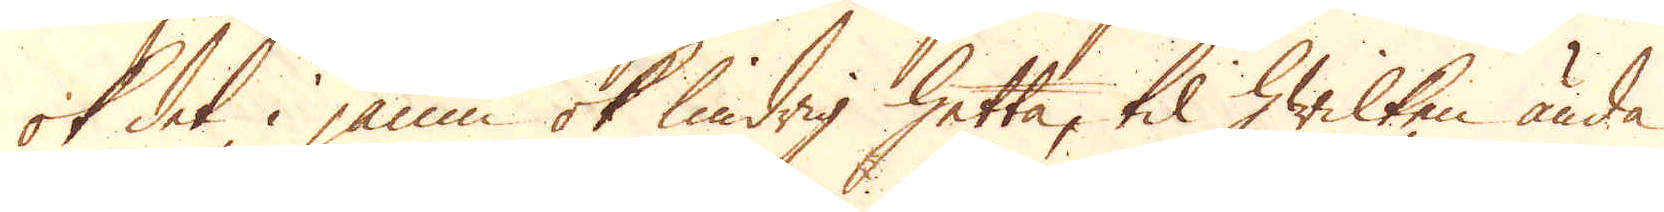ok det i jämn ok lindrig hetta, til hwilken ända
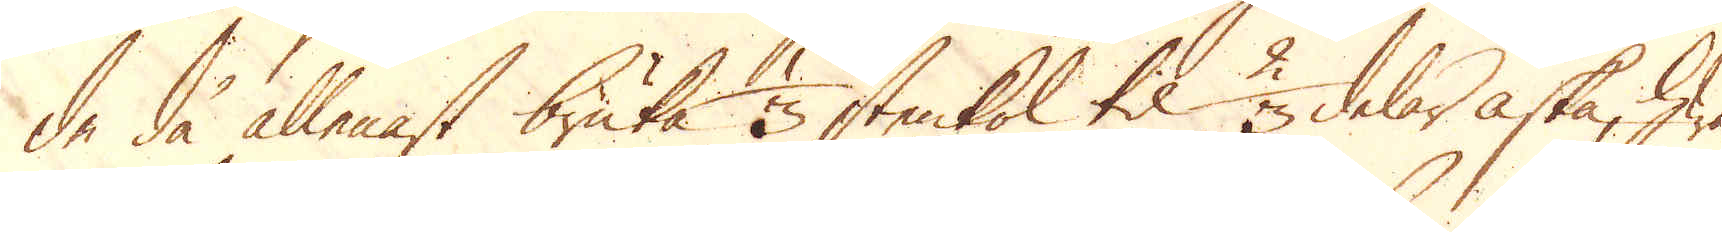de då allenast bruka 1/3 stenkol til 2/3 delar aska, hwar-
